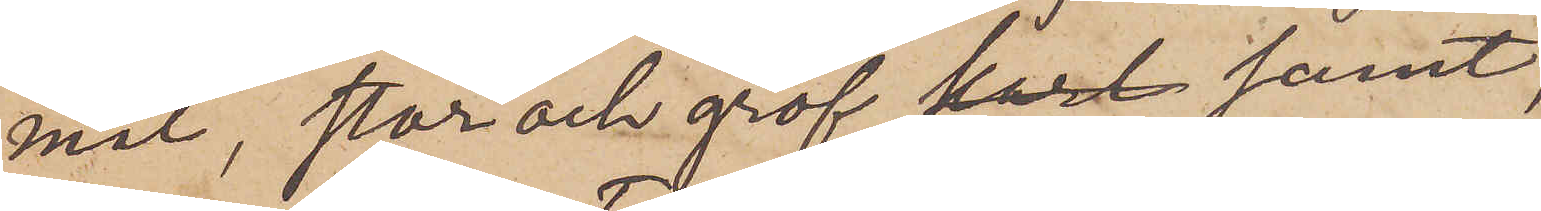mal, stor och grof  samt,
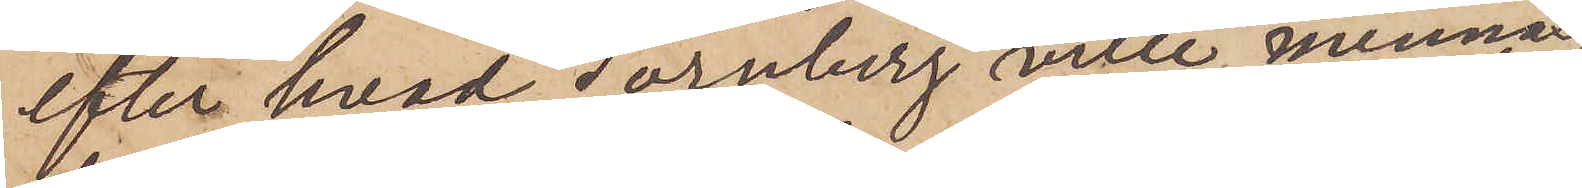efter hvad Tornberg ville minnas,
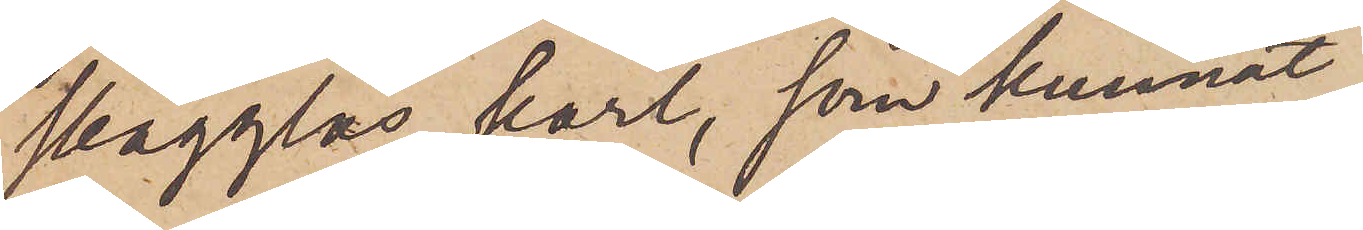skägglös karl, som kunnat
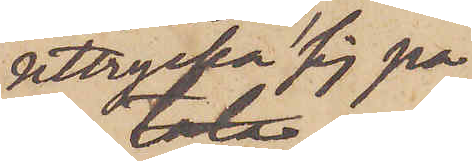uttrycka sig på
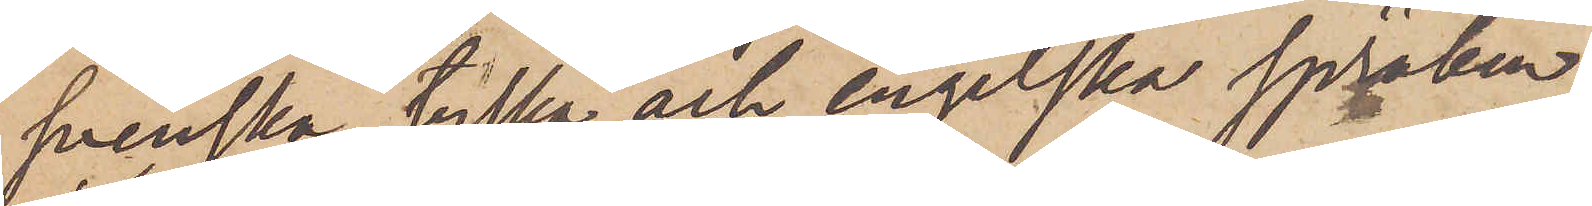svenska, tyska och engelska språken.
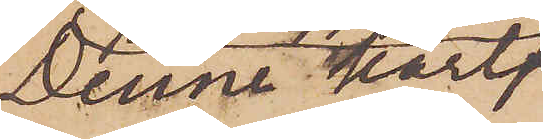Denne karl
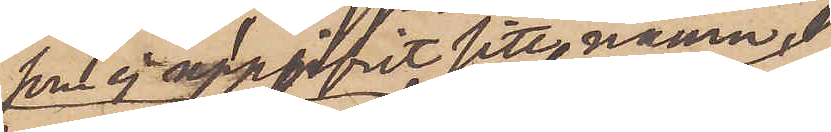som ej uppgifvit sitt namn,
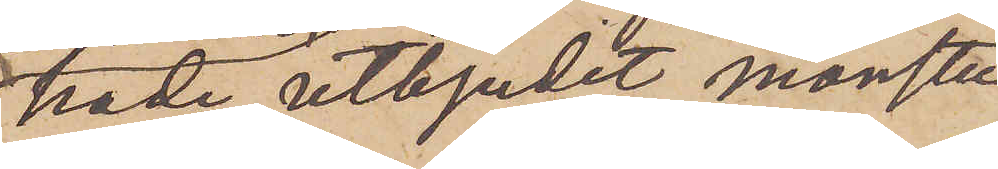hade utbjudit mönster
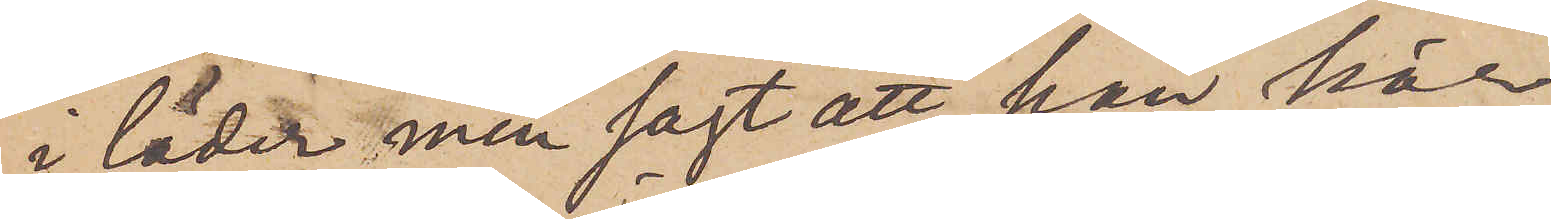i läder, men sagt att han här
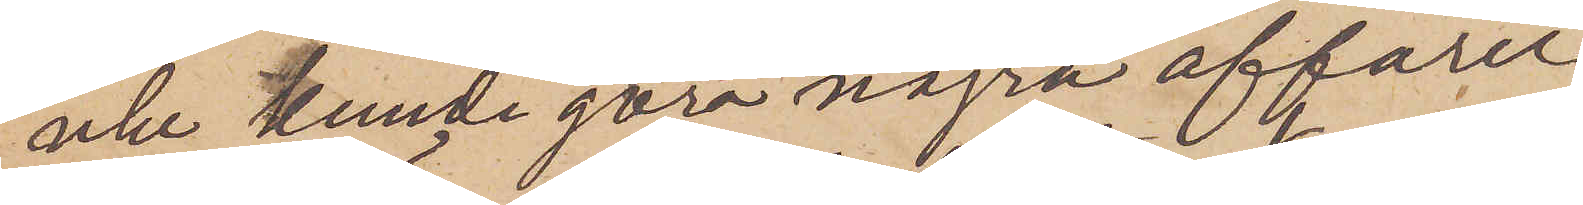icke kunde göra några affärer
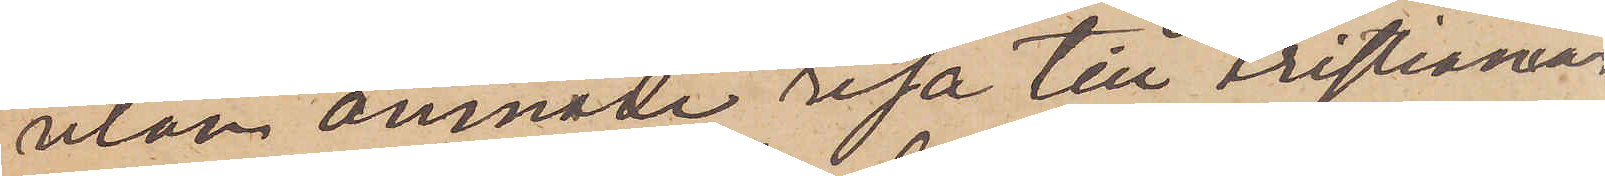utan ämnade resa till Kristiania.
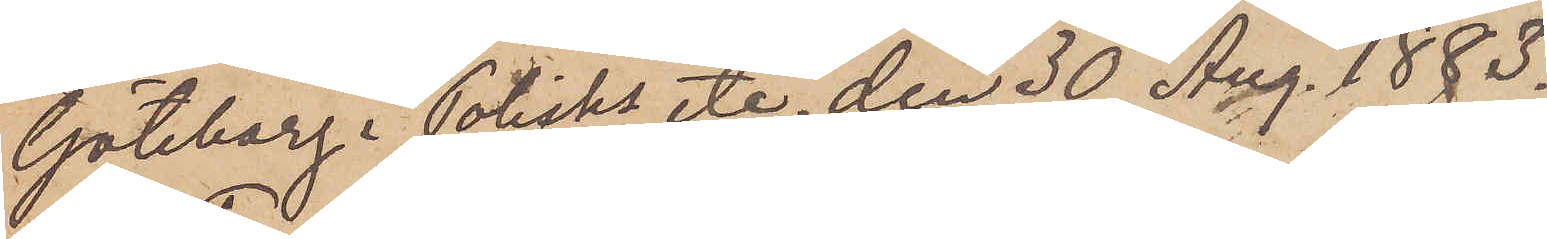Göteborg i Polisks etc den 30 Aug. 1883.
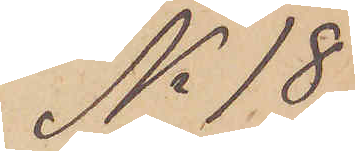No 18
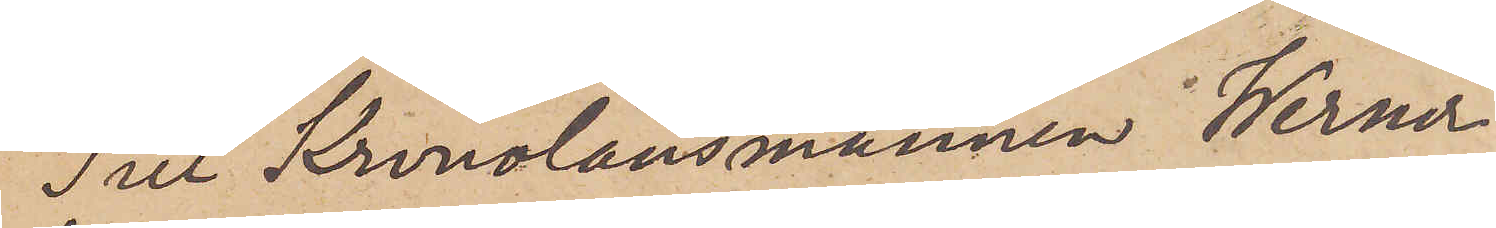Till Kronolänsmannen Werner
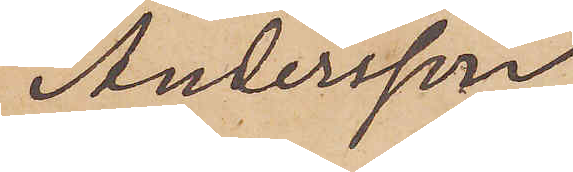Andersson.
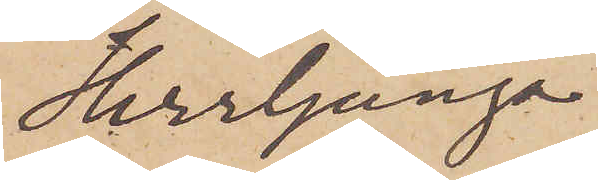Herrljunga
